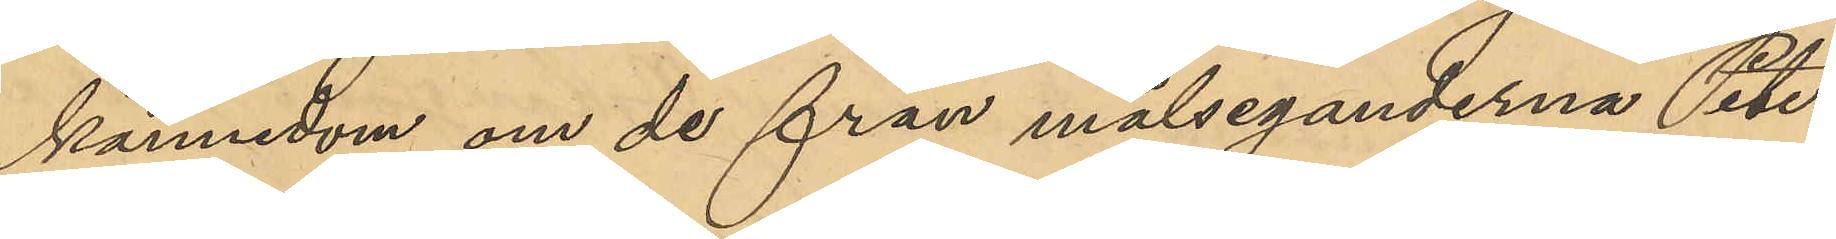kännedom om de från målseganderna Peters¬
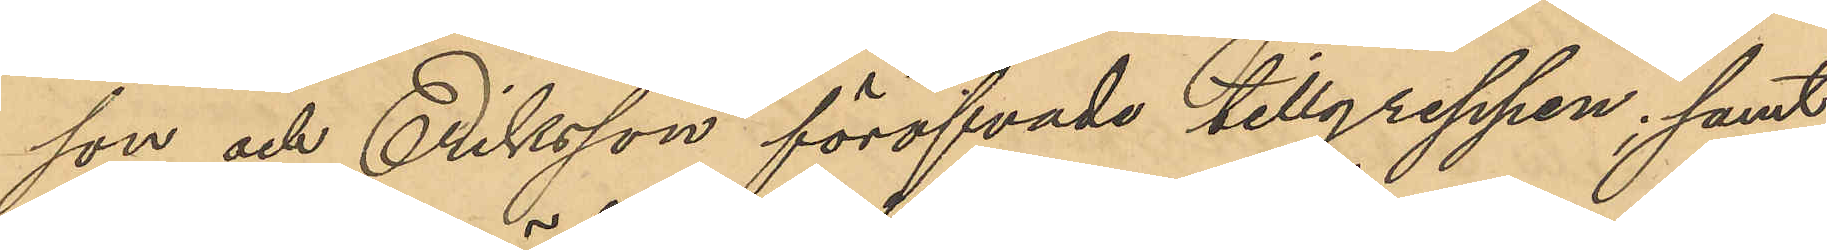son och Eriksson föröfvade tillgreppen; samt
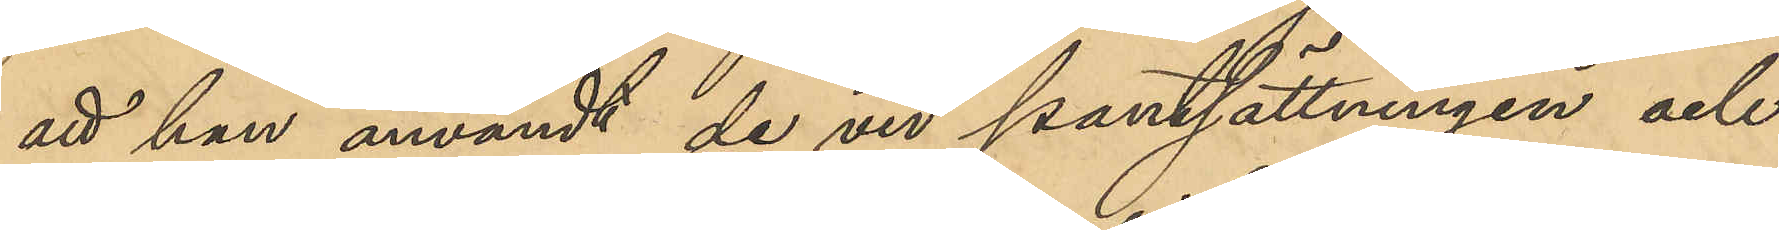att han användt de vid pantsättningen och
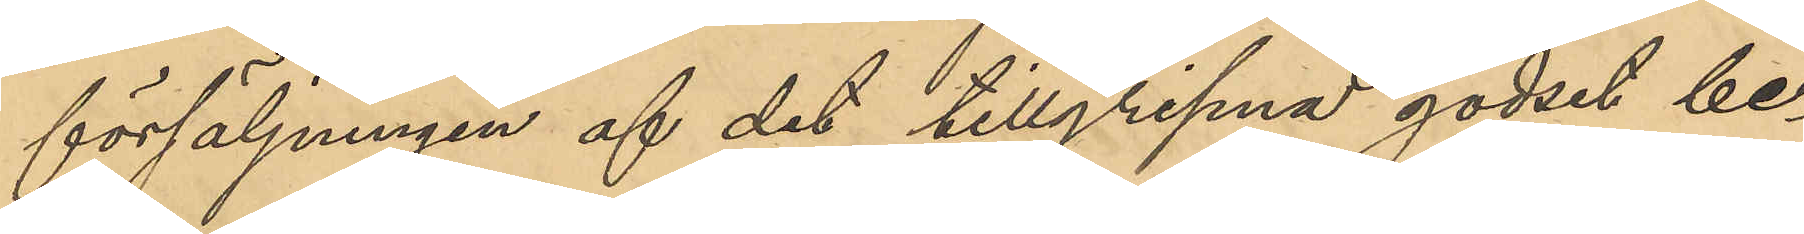försäljningen af det tillgripna godset be¬
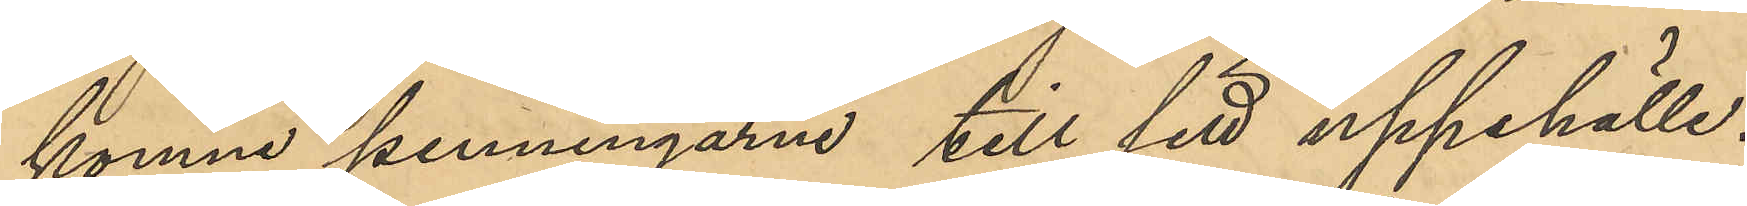komne penningarne till sitt uppehälle.
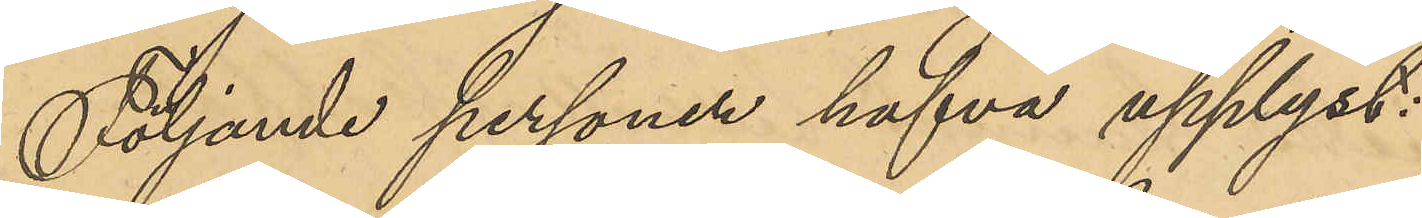Följande personer hafva upplyst:
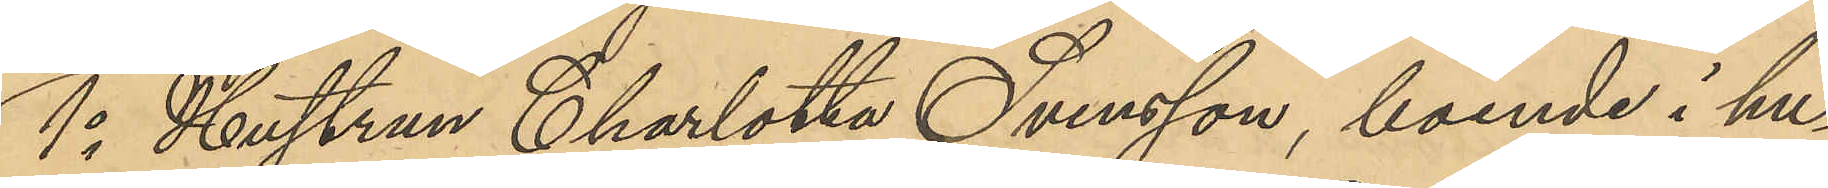1o Hustrun Charlotta Svensson, boende i hu¬
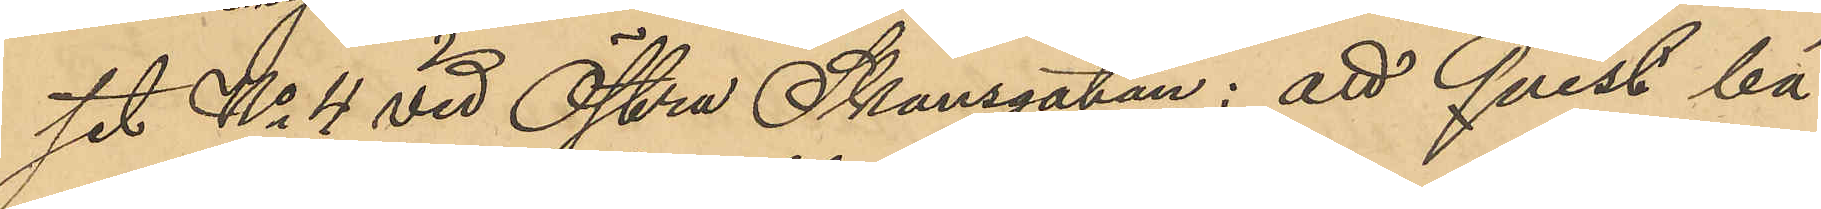set No 4 vid Östra Skansgatan: att Qvist bä¬
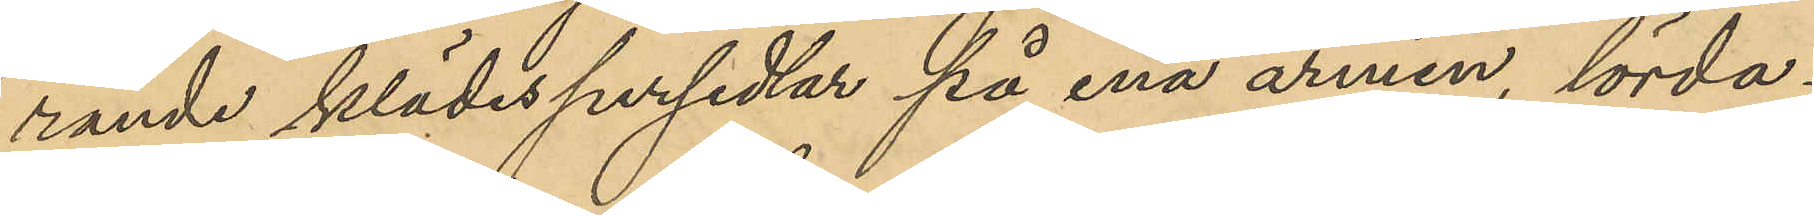rande klädespersedlar på ena armen, lörda¬
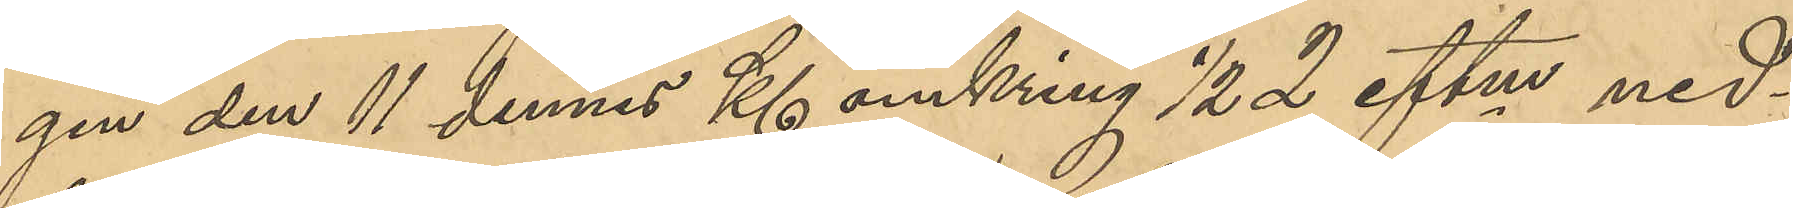gen den 11 dennes Kl omkring ½ 2 eftm ned¬
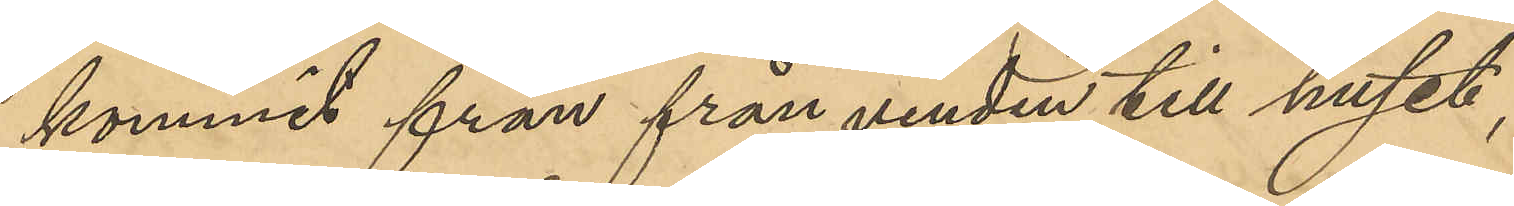kommit från vinden till huset;
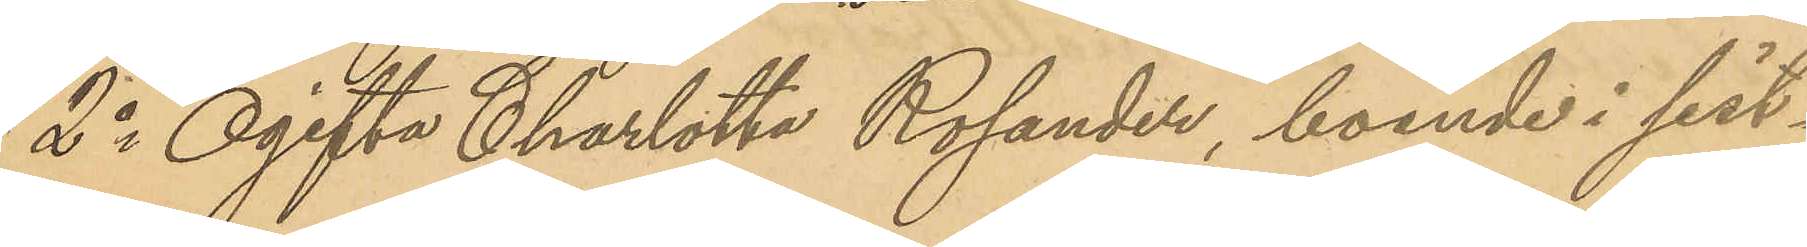2o Ogifta Charlotta Rosander, boende i sist¬
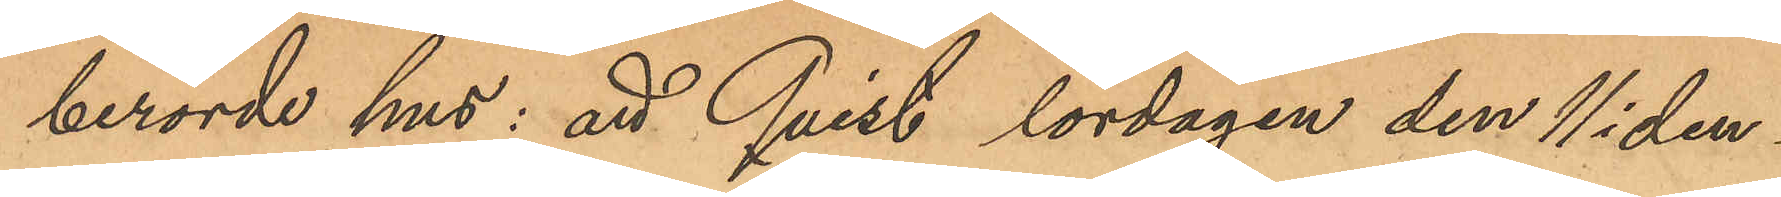berörde hus: att Qvist lördagen den 11 i den
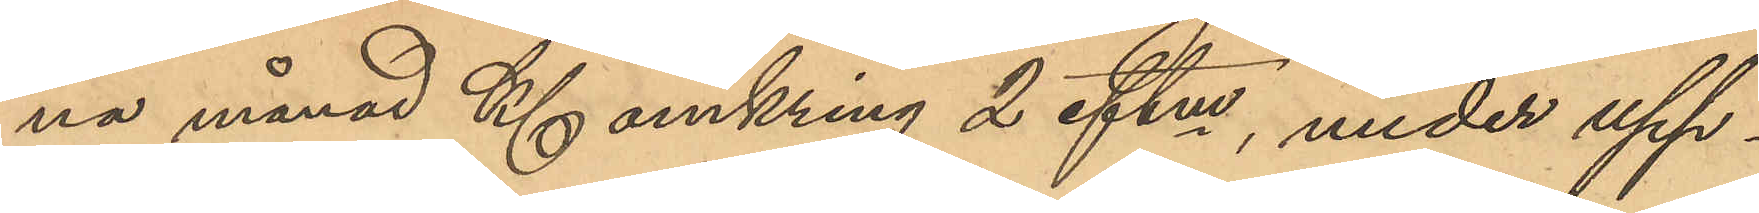na månad Kl omkring 2 eftm, under upp¬
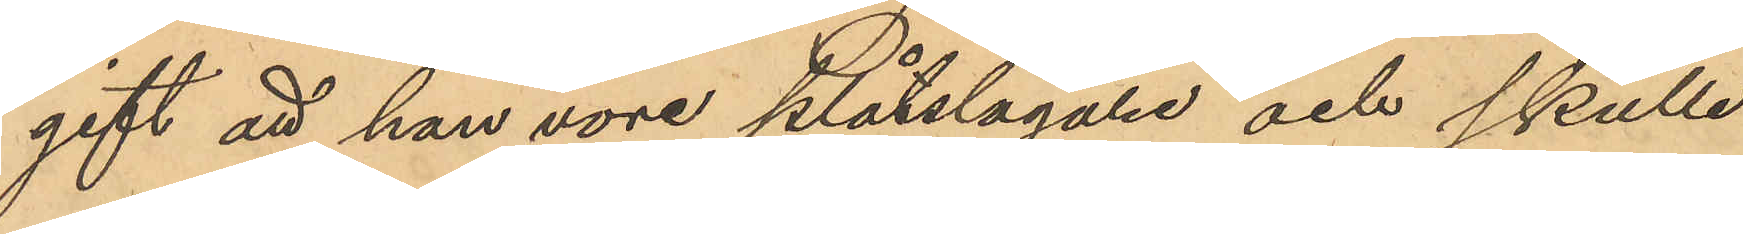gift att han vore Plåtslagare och skulle
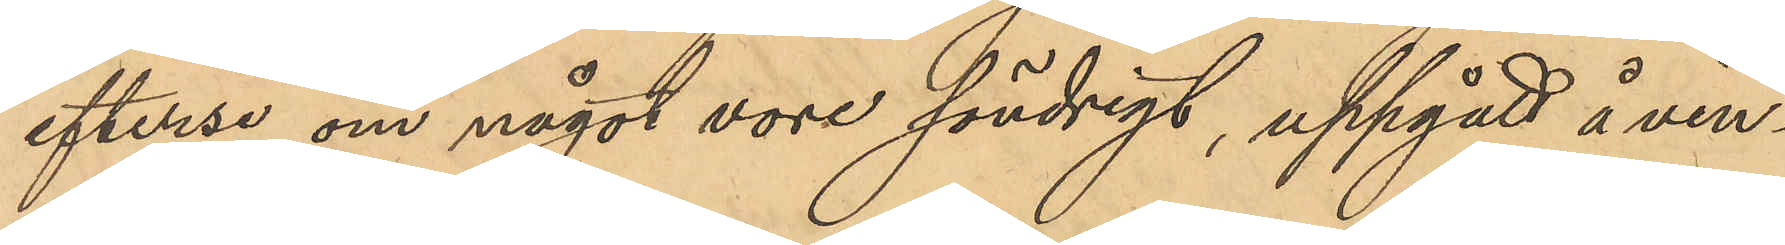efterse om något vore söndrigt, uppgått å vin¬
